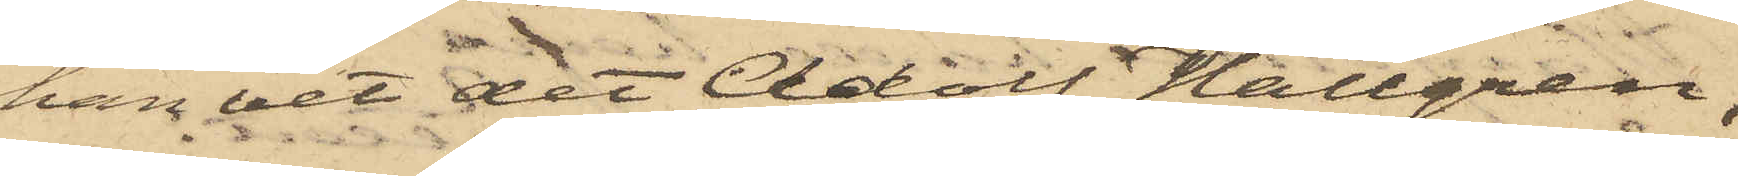han vet det Adolf Hallgren,
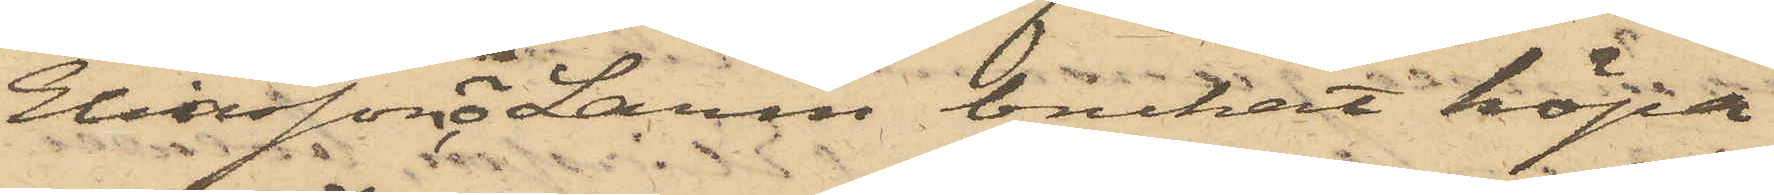Eliasson, o Larm brukat köpa
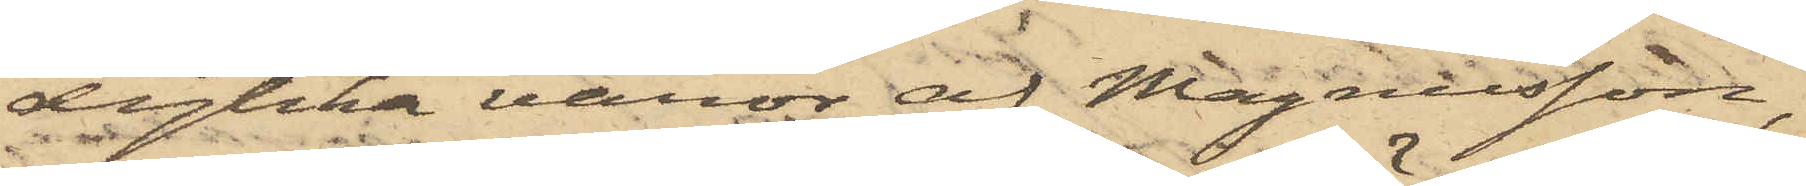dylika varor af Magnusson,
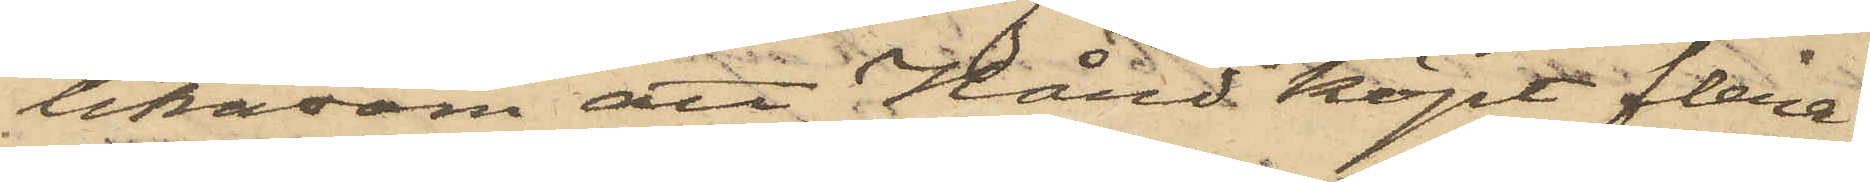likasom att Hård köpt flera
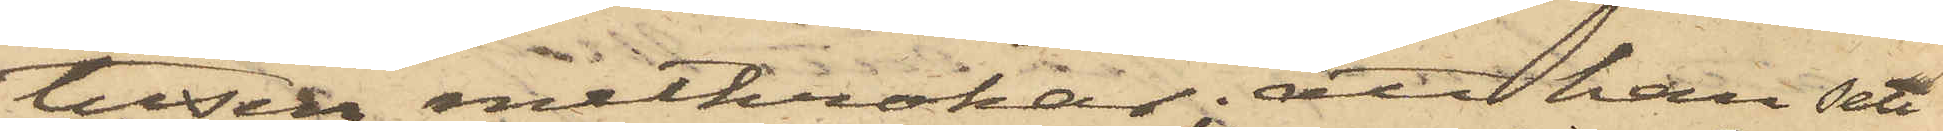tusen metkrokar; att han sett
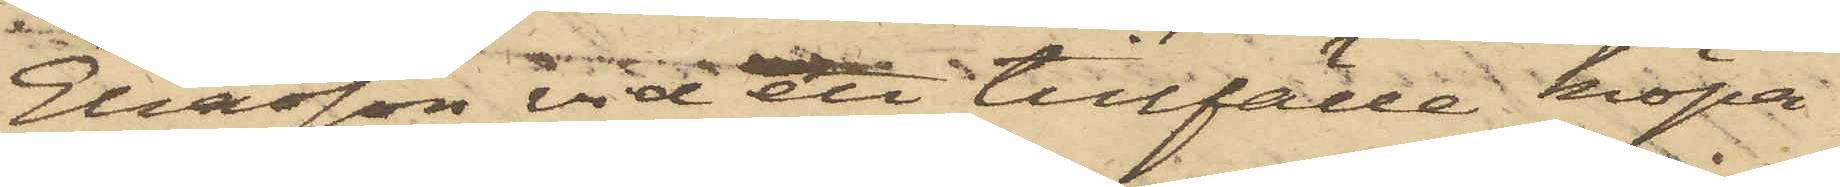Eliasson vid ett tillfälle köpa
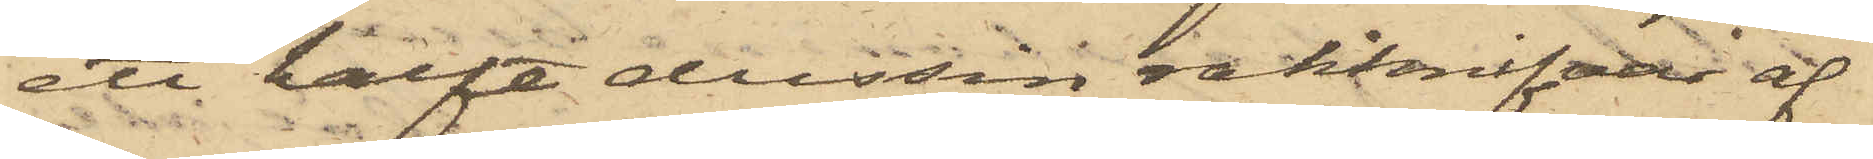ett halft dussin rakknifvar af
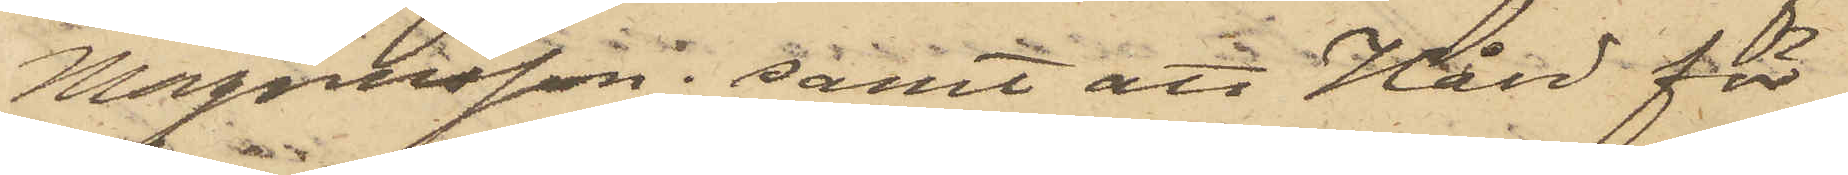Magnusson; samt att Hård för
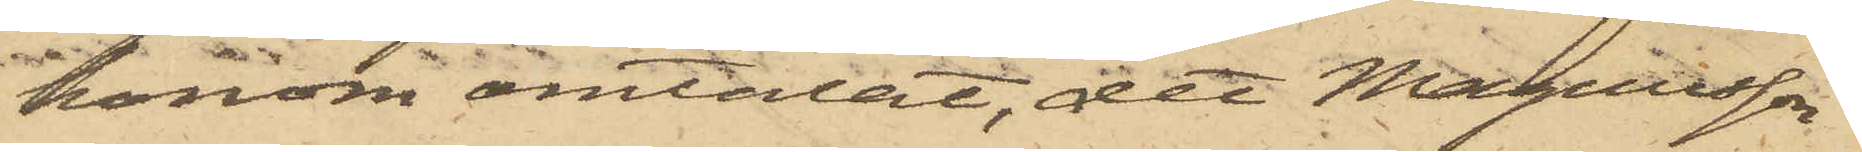honom omtalat, det Magnusson
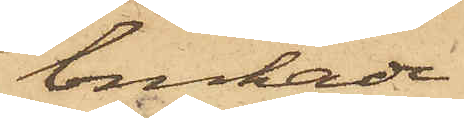brukade
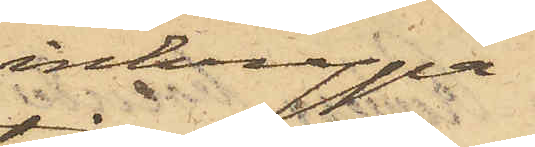inkrypa
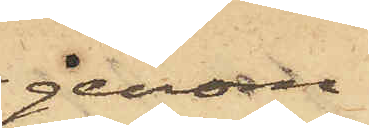genom
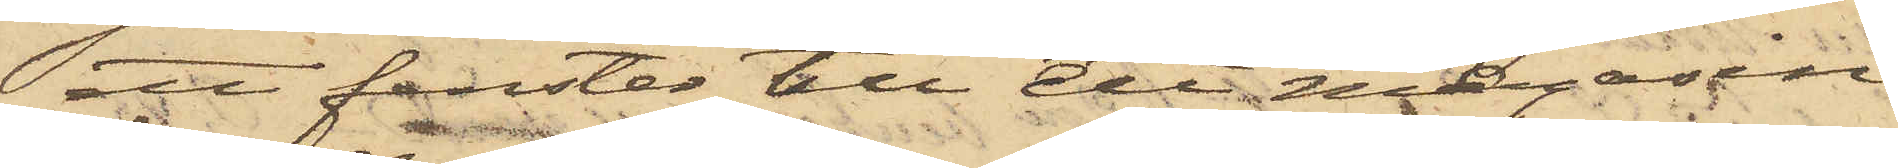ett fenster till ett magasin
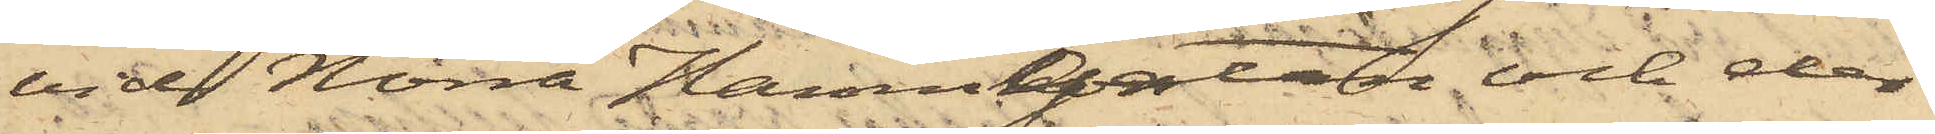vid Norra Hamngatan och der
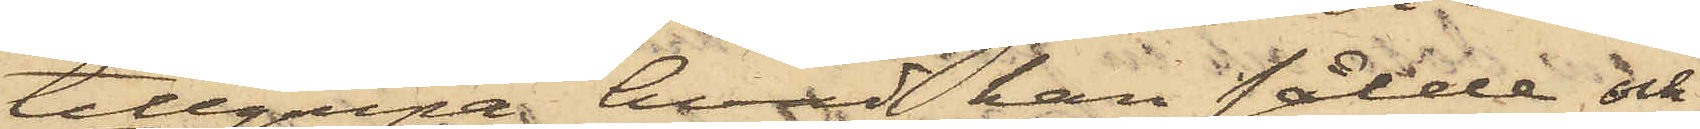tillgripa hvad han sålde och
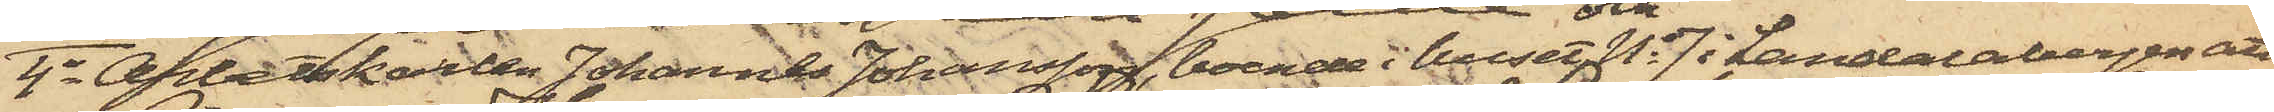4o Arbetskarlen Johannes Johansson, boende i huset No 7 i Landalabergen att
